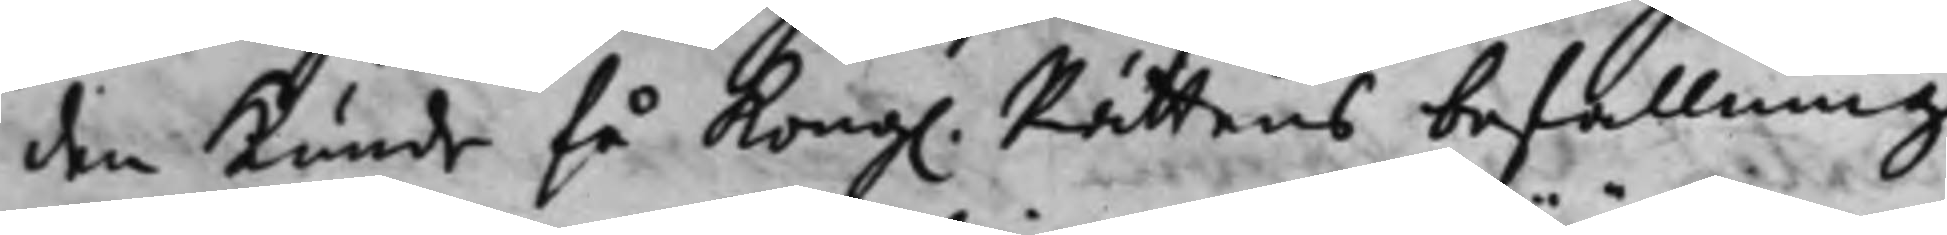den kunde få Kong. Rättens befallning
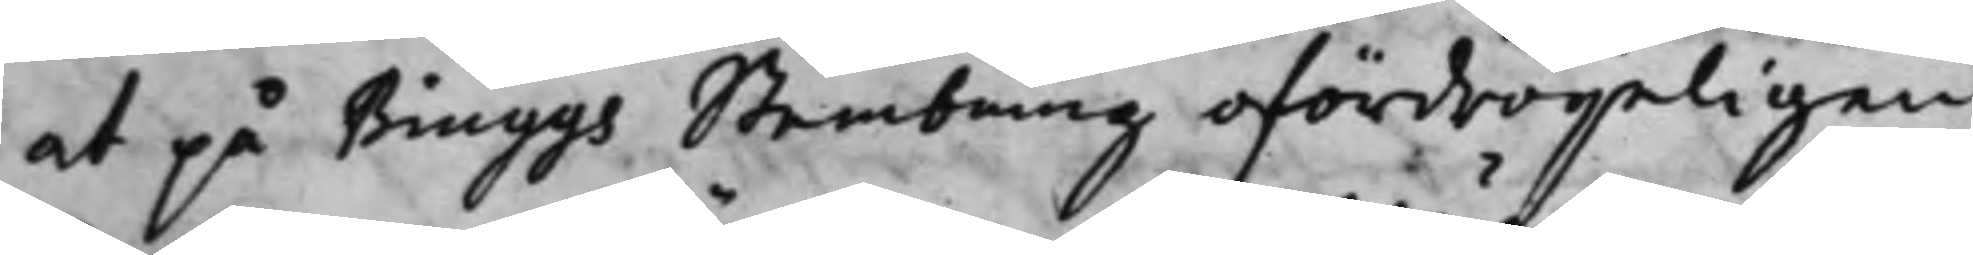at på Biuggs Stembning ofördryeligen
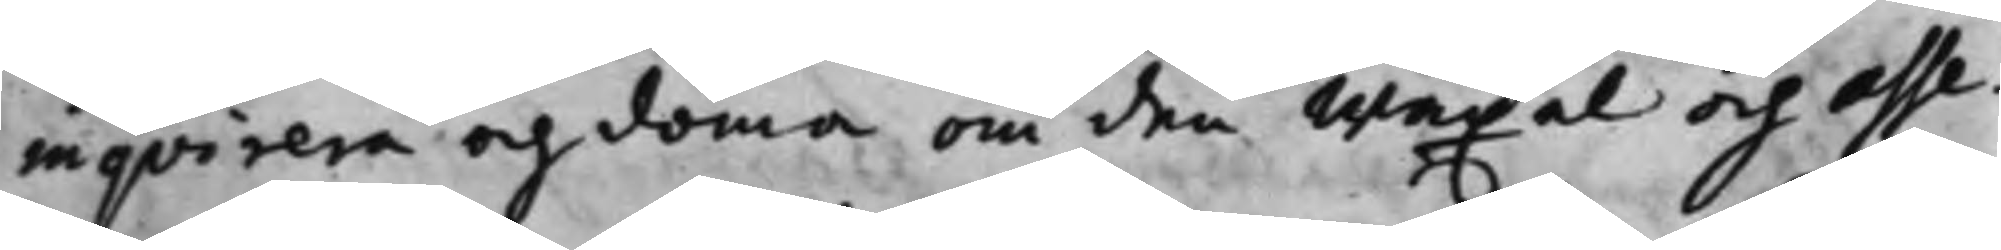inqvirera och döma om den Wäxel och asse¬
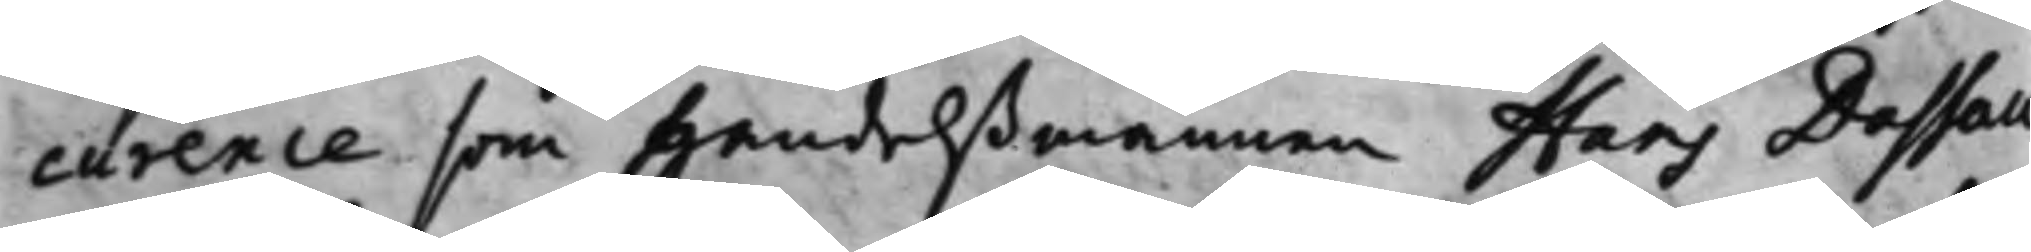curence som Handelßmannen Hans Dassau
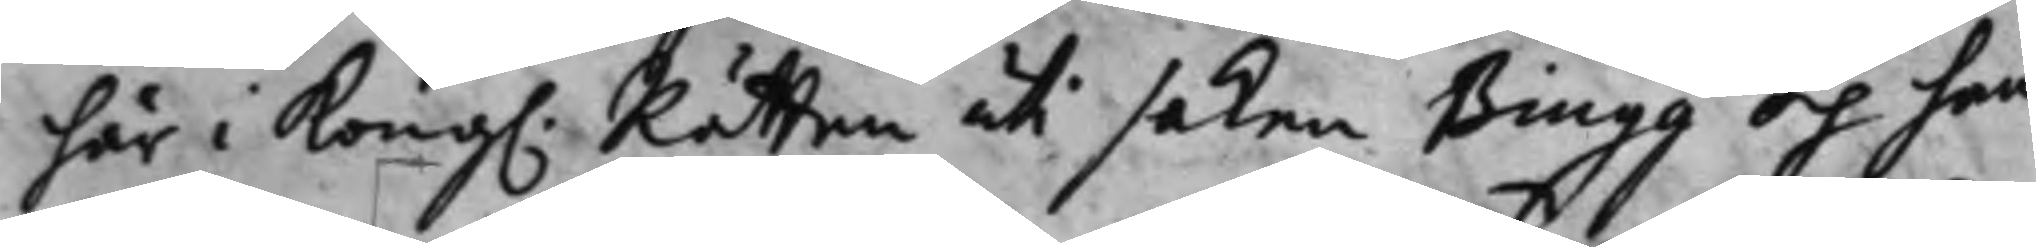här i Kong. Rätten uti saken Biugg och han¬
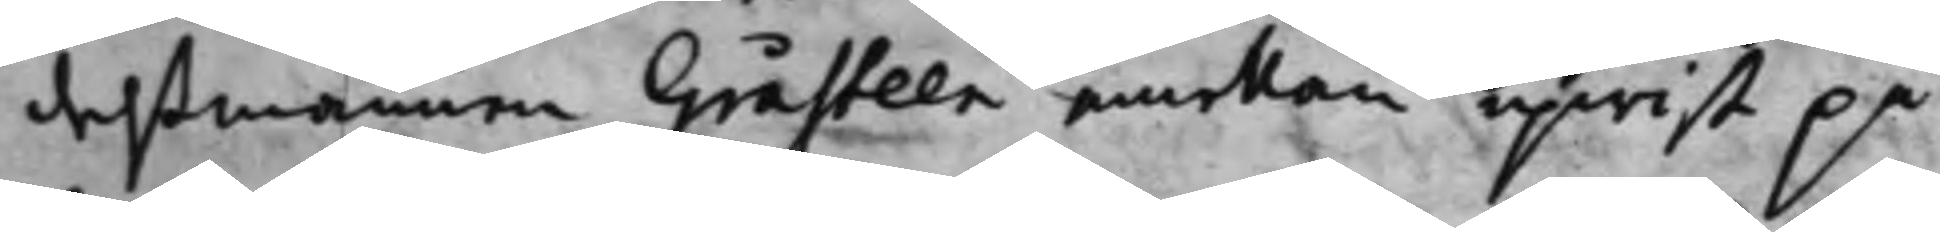delßmannen Gråsteen emellan upwist på
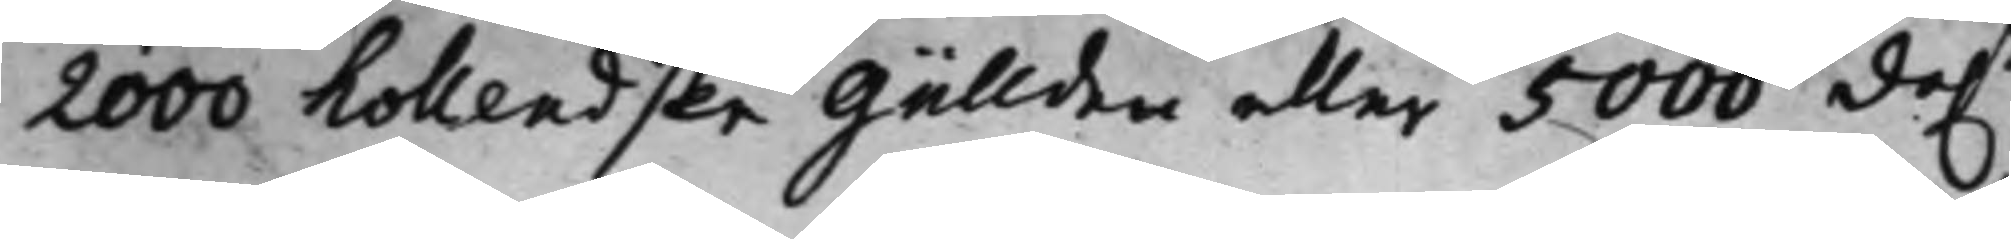2000 hollendske Güllden eller 5000 da.r
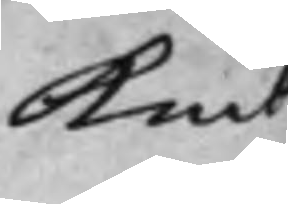Kmt
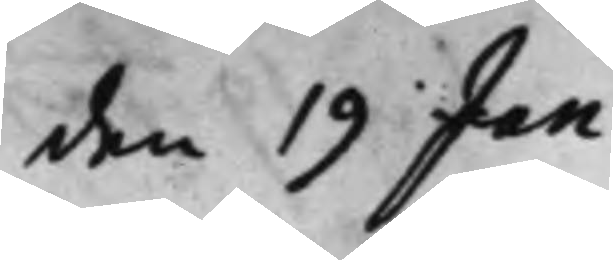den 19 Jan:
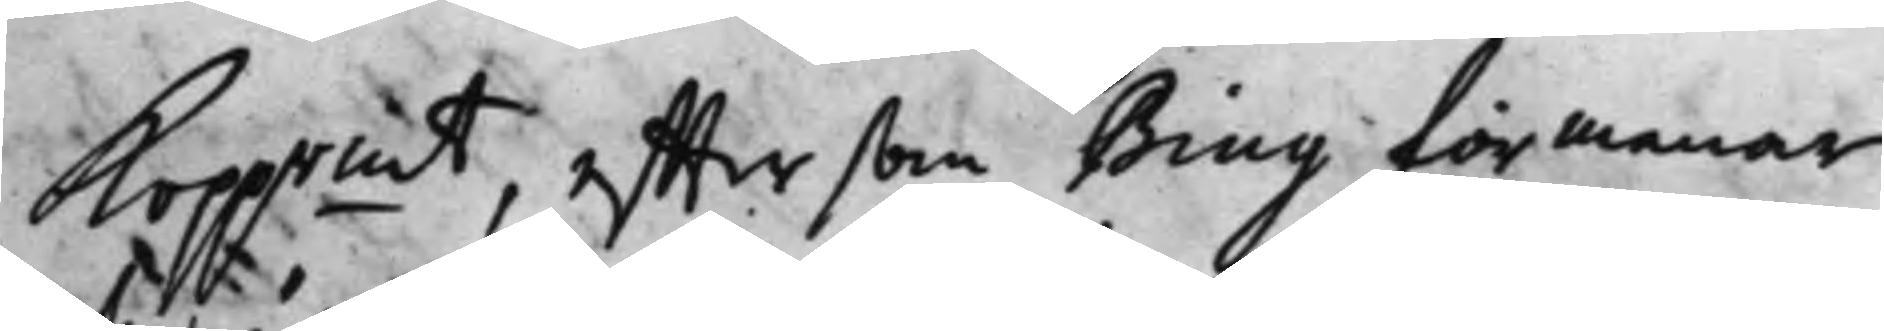Kopp.rmt, effter som Biug förmenar
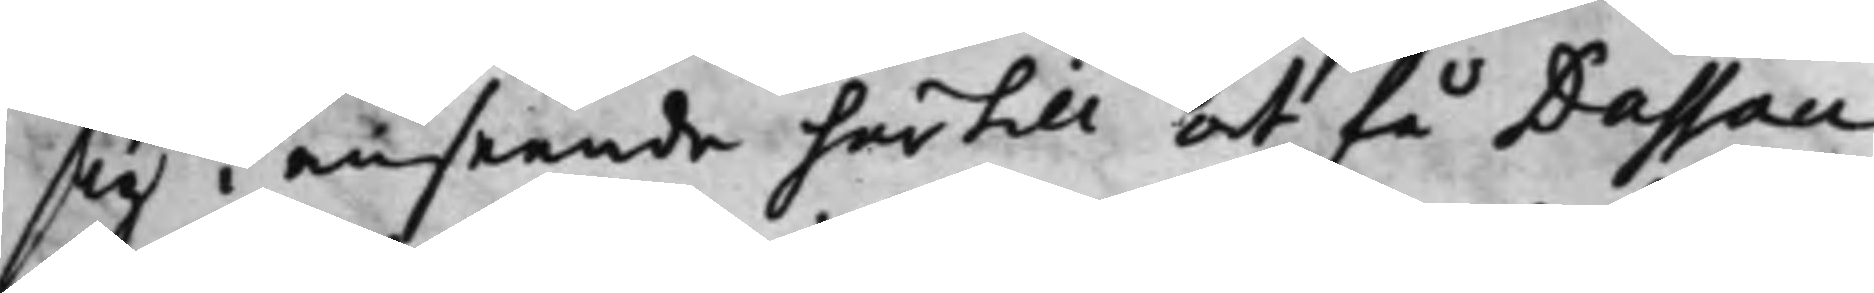sig i anseende hertill at få Dassau
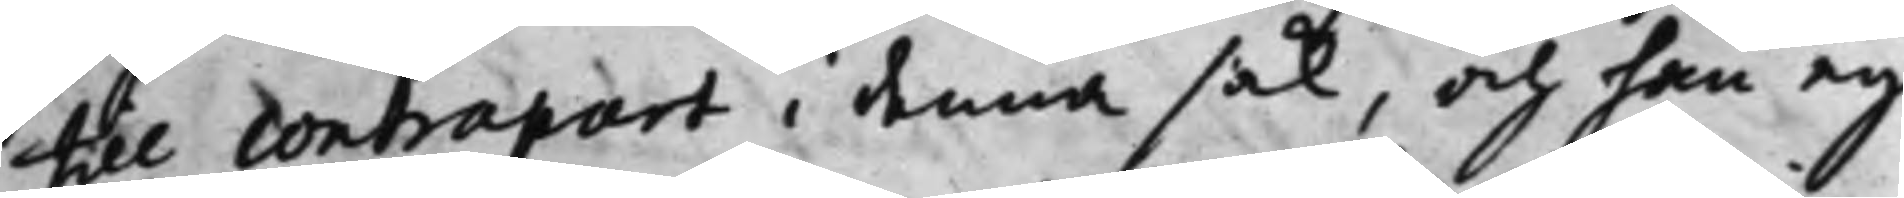till Contrapart i denna sak, och han ey
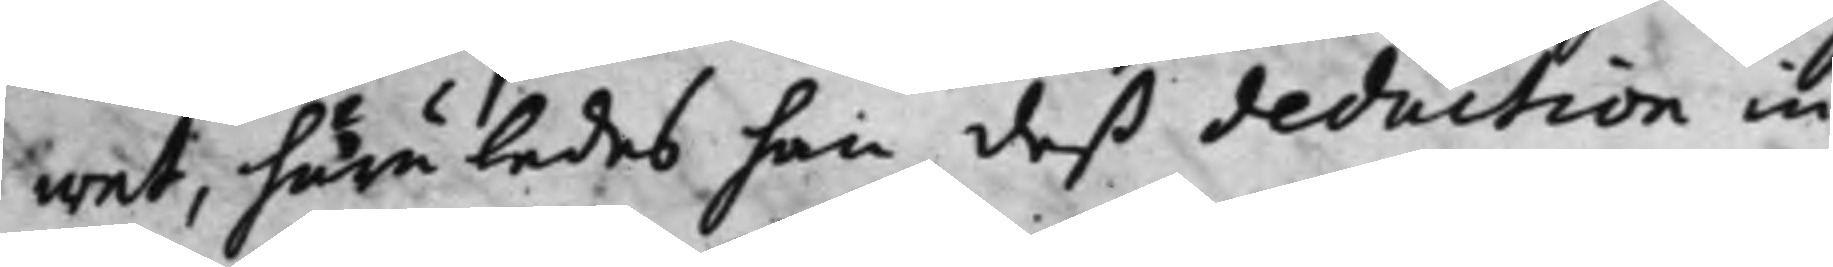wet, huruledes han deß deduction in
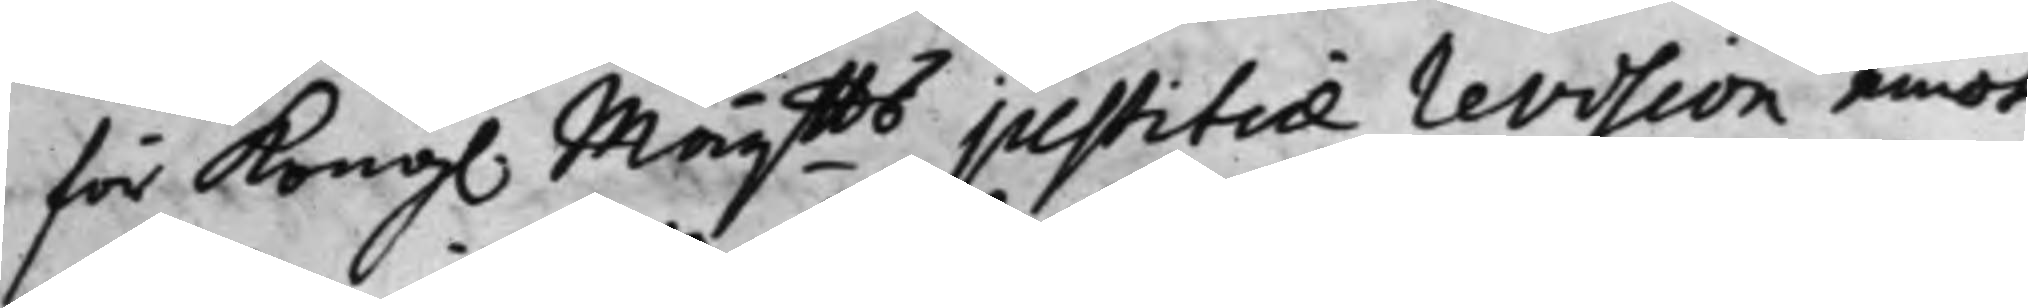för Kong. Maij.tts justitiae revision emot
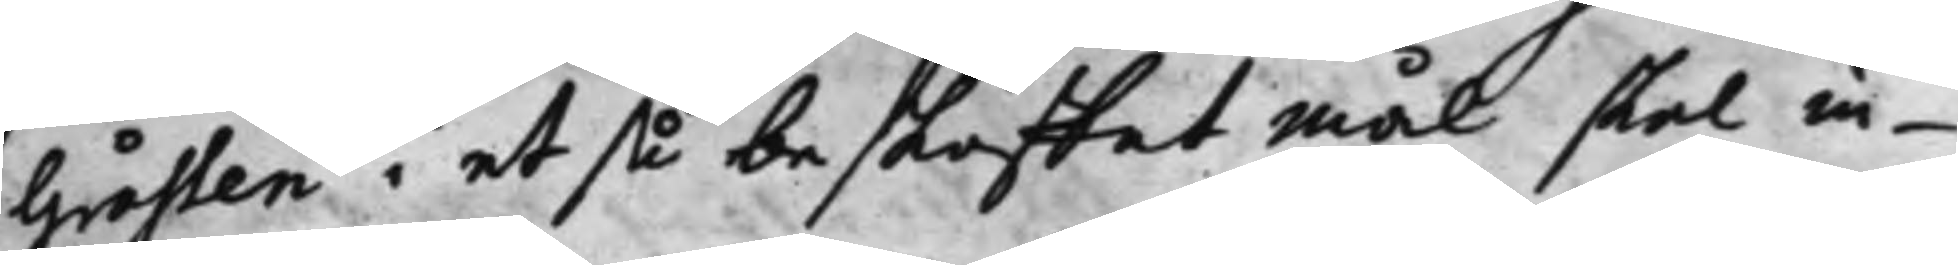Gråsten i et så beskaffat mål skal in¬
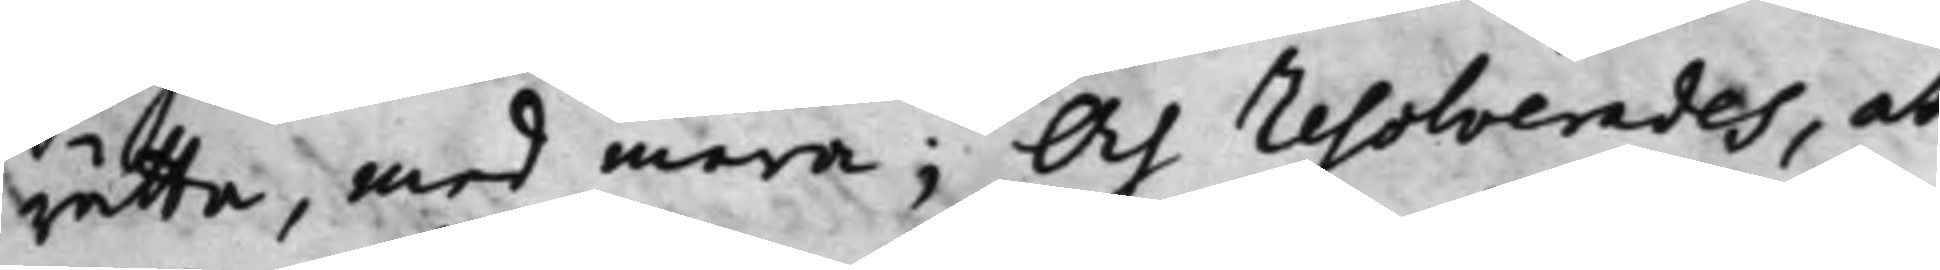rätta, med mera; Och resolverades, at
